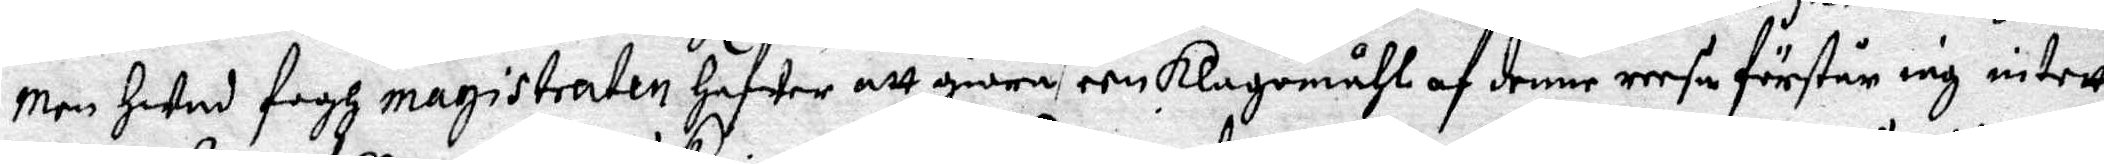Men Hwad fogh magistraten hafwer att giöra, een Klagomåhl af denne reesa förstår iag intett
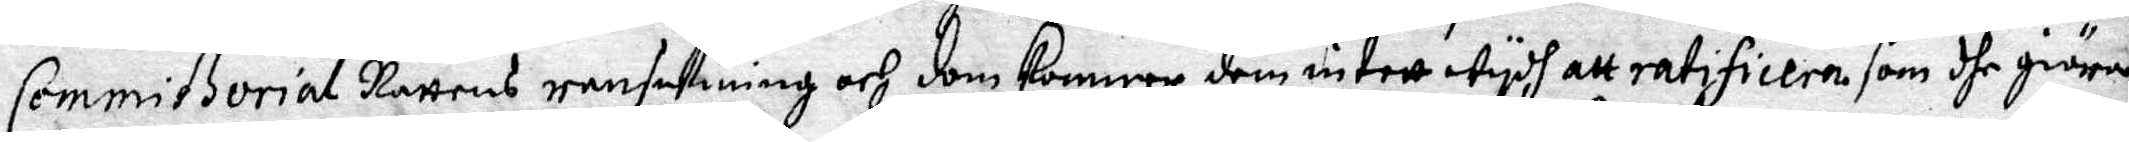Commißzorial Rättens ransakning och dom kommer dem intett wydh att ratificera som dhe giöra.
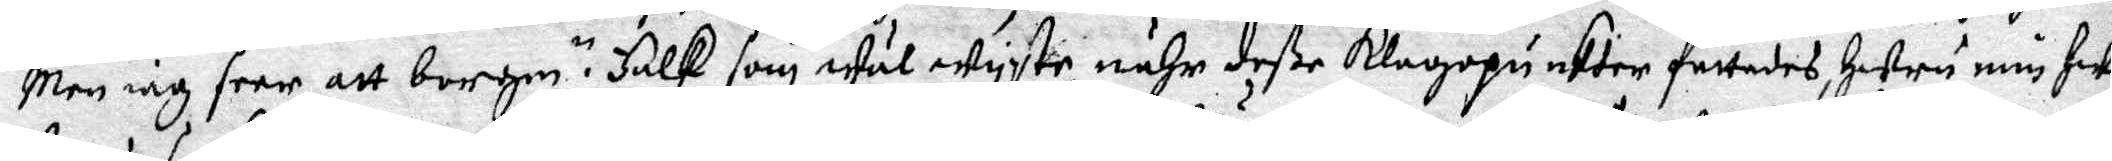Men iag seer att borgm.n Falk som wäl wyste, nähr deße Klagopunkter fattades, huru min hu¬
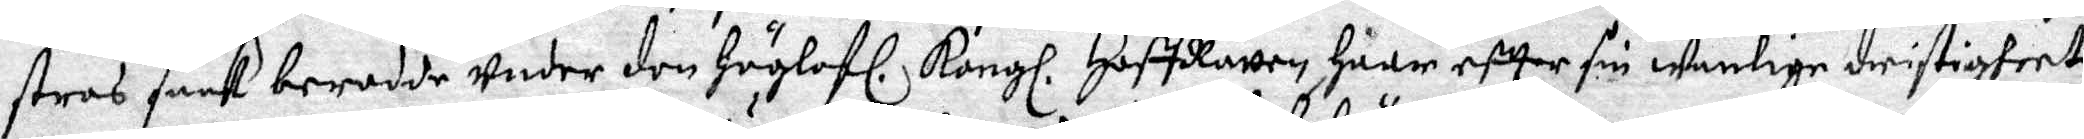stros saak berodde Under den Höglofl. Kongl. HoffRätten haar eftter sin wanlige dristigheet
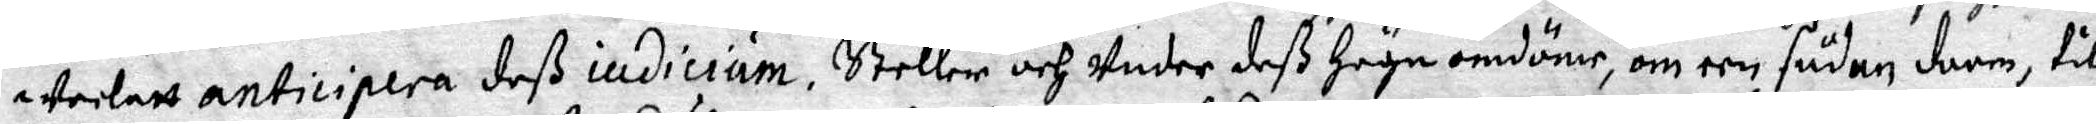Weelatt anticipera deß iudicium, Steller och Under deß Höga omdöme, om een sådan doon, till
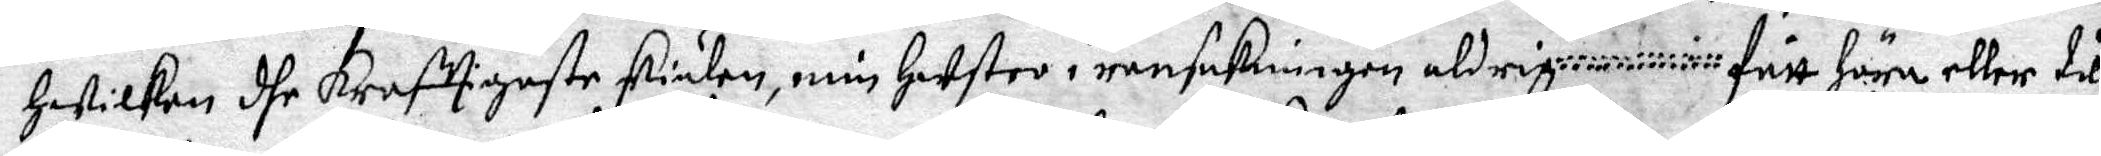Hwilken dhe kraffigeste skiälen, min hustro i ransakningen aldrige fått höra eller till
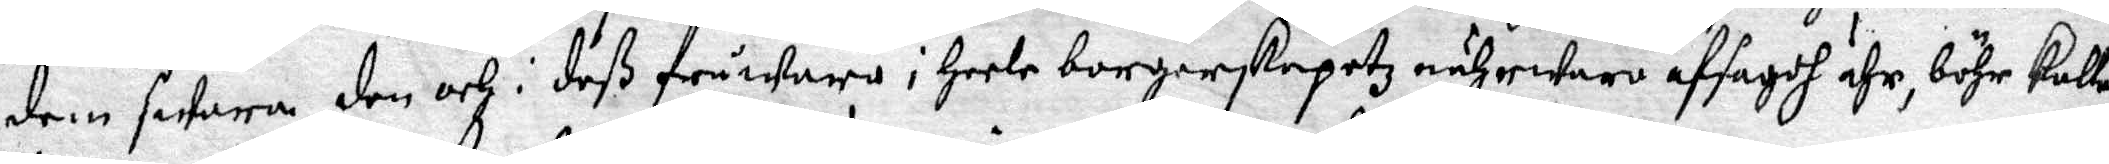dem swara, den och i deß fråwara i heele borgerskapetz nährwaro afsagdt ähr, böhr kallas
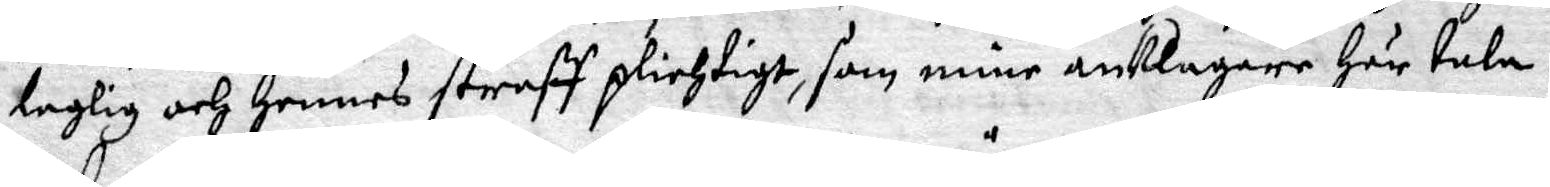laglig och hennes straff plichtigt, som mine anklagare här tala.
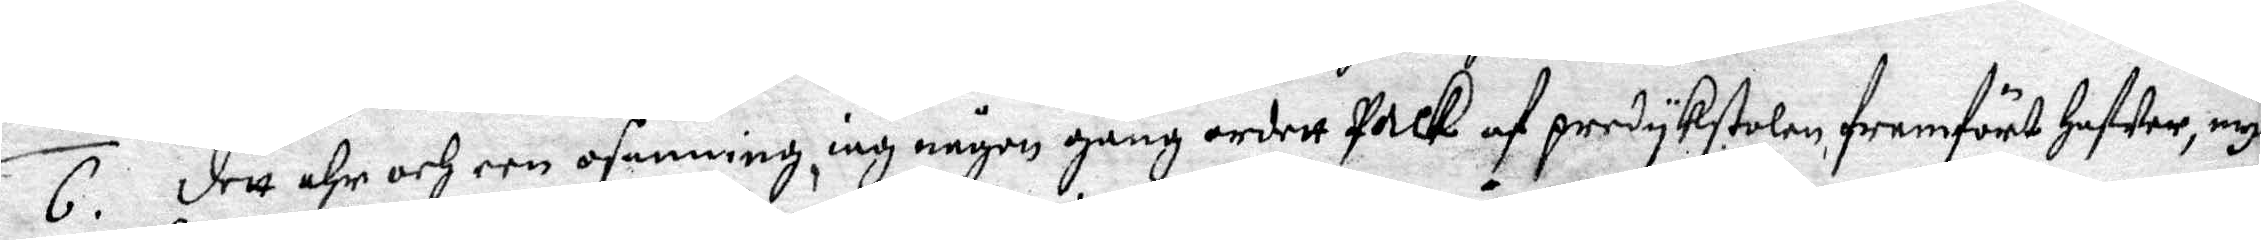6. Dett ähr och een osanning, iag någon gång ordett Pack af predykstolen, framfört hafwer, myc¬
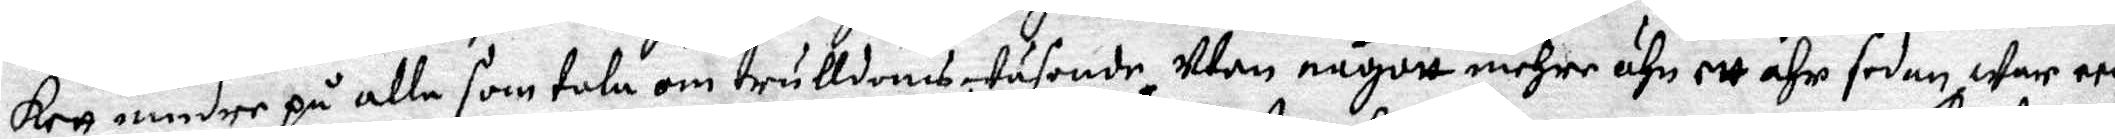kett mindre på alle som tala om trulldomswäsende, utan någott mehre ähn ett åhr sedan war een
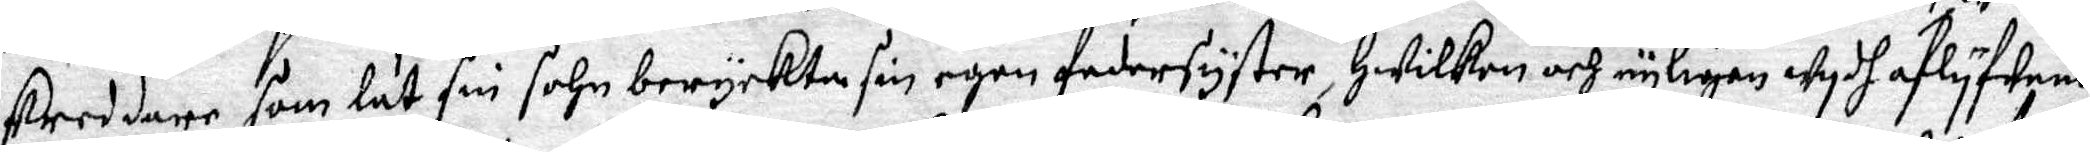skreddare som lät sin sohn beryckte sin egen fadersyster, Hwilken och nyligen wydh aflyfwande
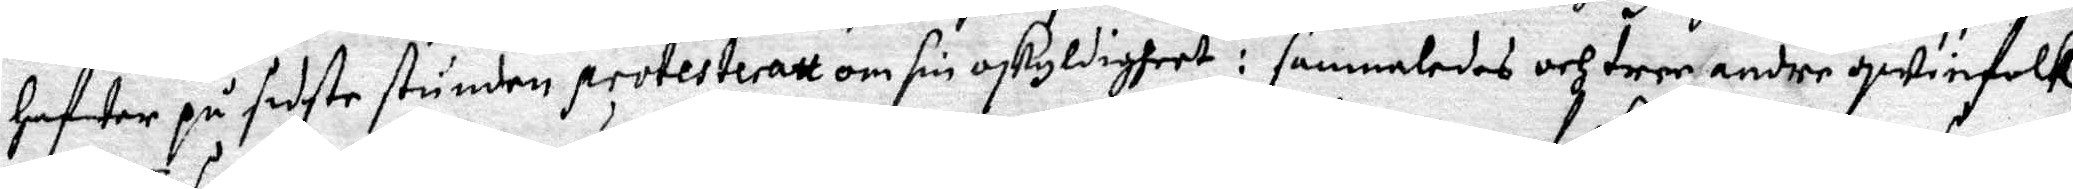hafwer på sidste stunden protesteratt om sin oskyldigheet : sammaledes och tree andre qwinfolk
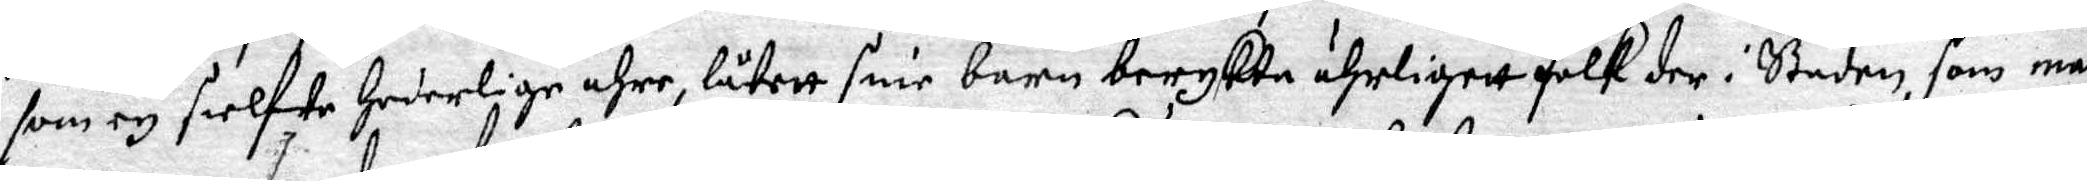som ey sielfwe hederlige ähre låtett sine barn berykte ährligett folk der i Staden, som man
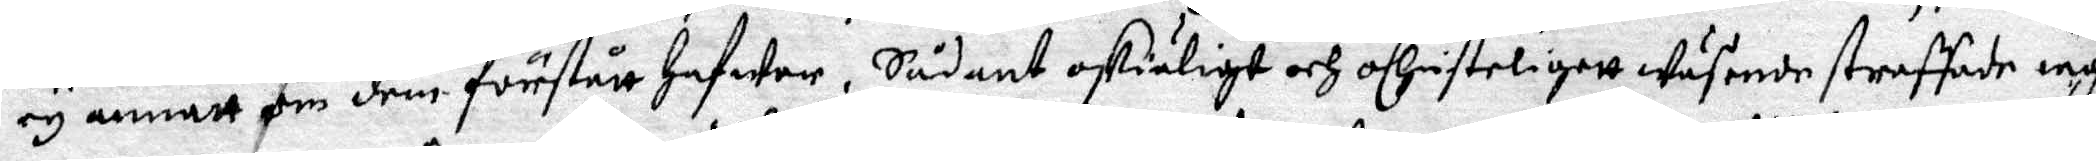ey annatt om dem förstått hafwer. Sådant oskiäligt och oChristeligett wäsende straffade iag
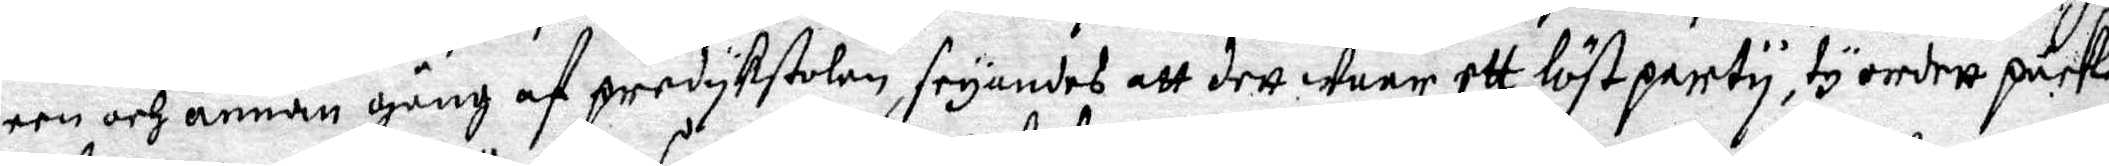een och annan gång af predykstolan, seyandes att dett warr ett löst party, ty ordett pack
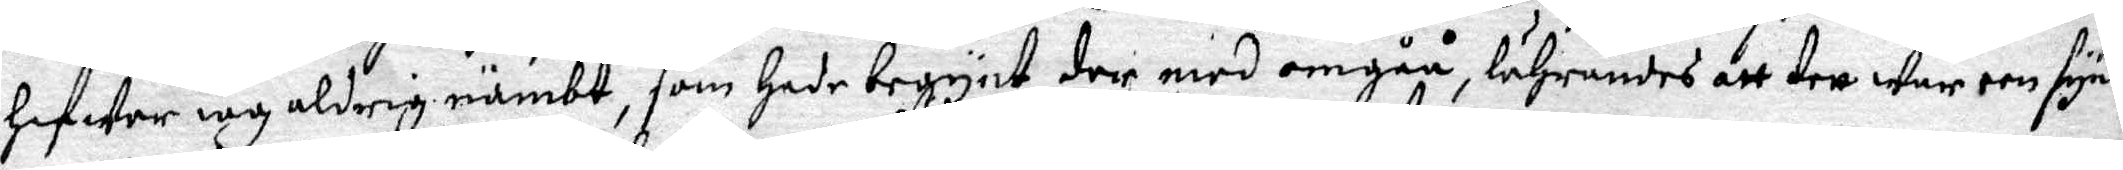hafwer iag aldrig nämbt, som hade begynt der med omgåe, lährandes att dett war een synd
